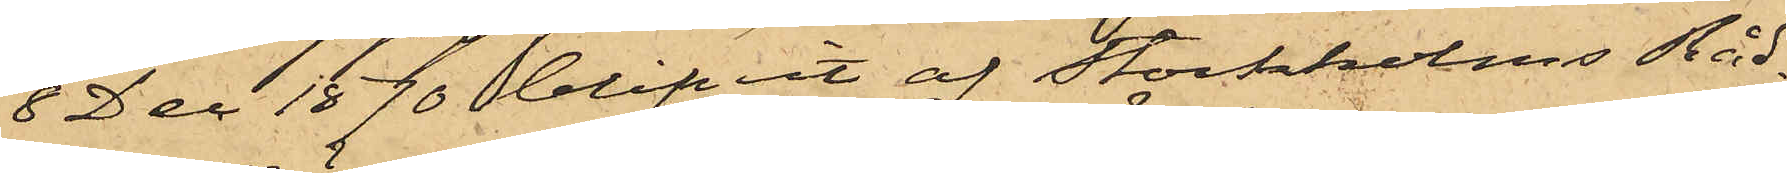8 Dec 1870 blifvit af Stockholms Råd¬
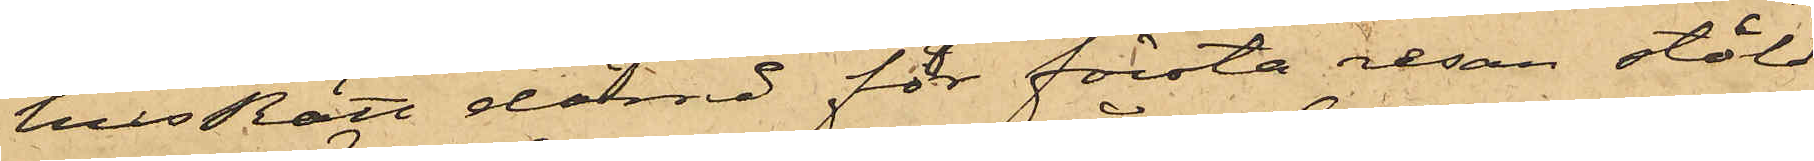husRätt dömd för första resan stöld
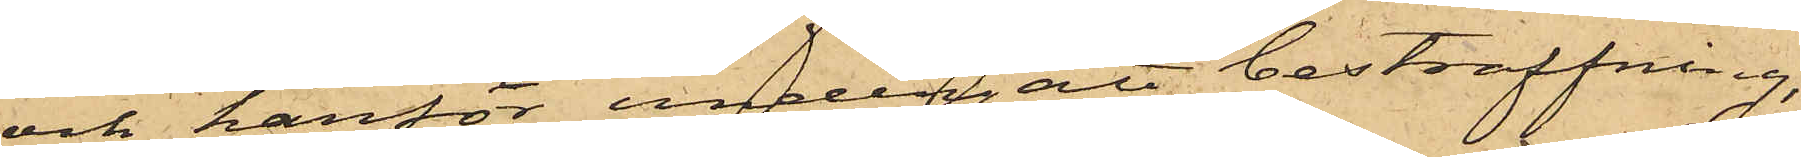och härför undergått bestraffning,
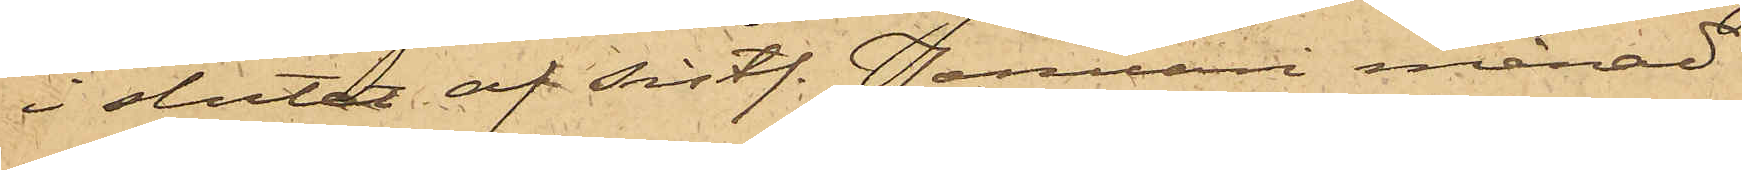i slutet af sistl. Januari månad
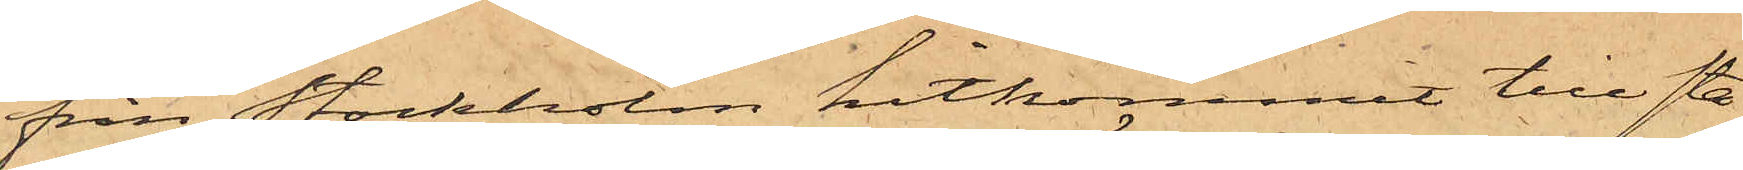från Stockholm hitkommit till sta¬
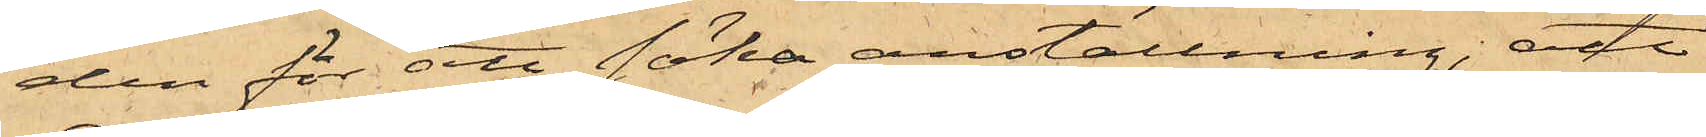den för att söka anställning; att
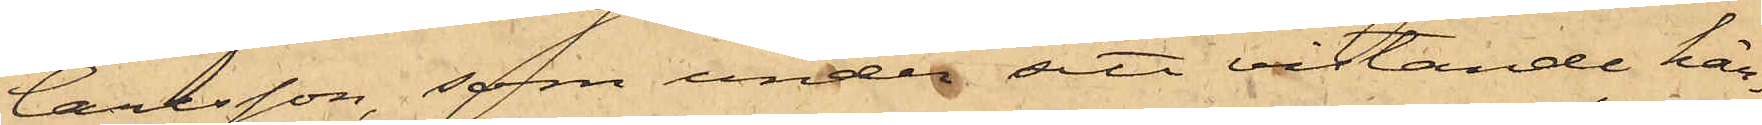Carlsson, som under sitt vistande här¬
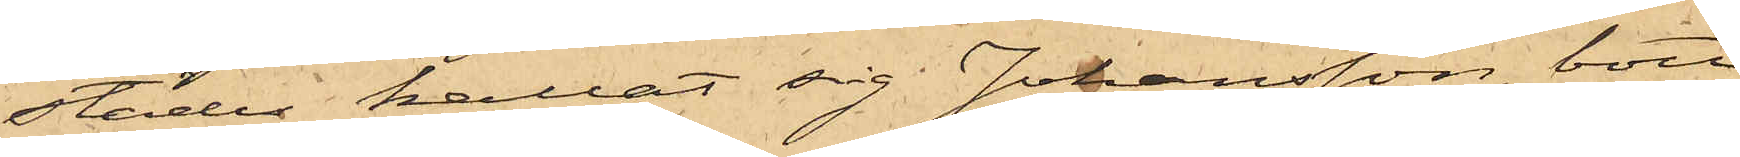städes kallat sig Johansson, bott
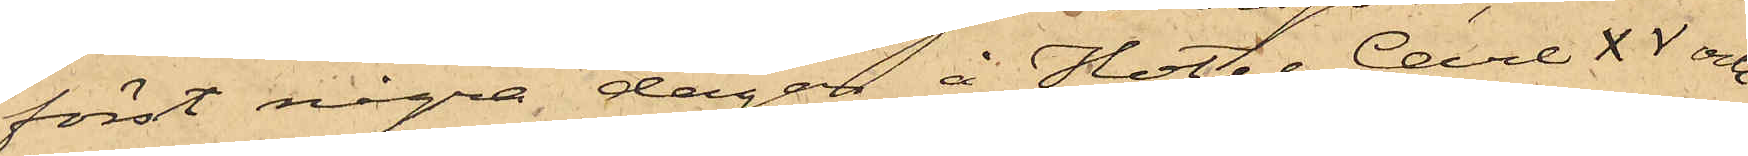först några dagar å Hotel Carl XV och
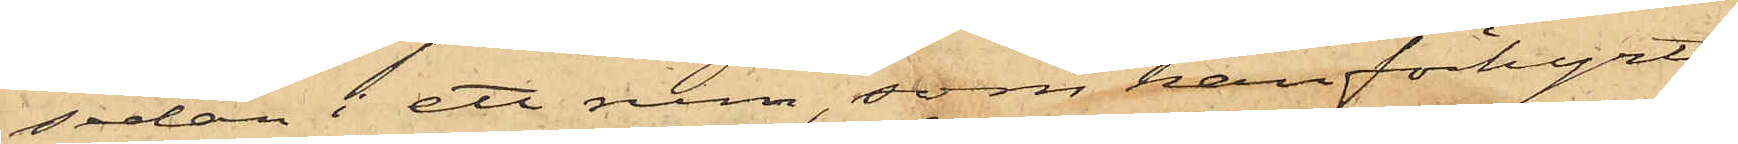sedan i ett rum, som han förhyrt
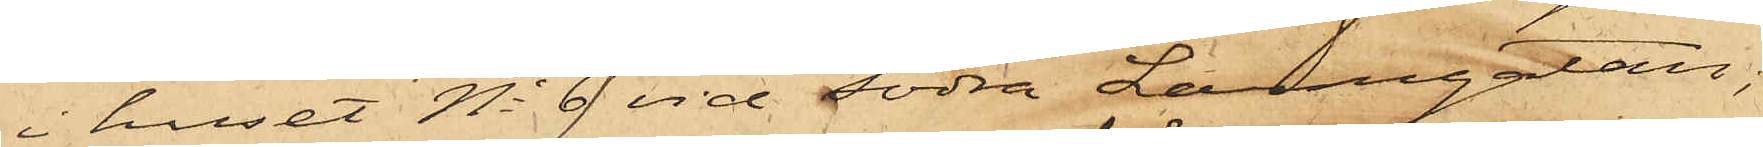i huset No 9 vid Södra Larmgatan;
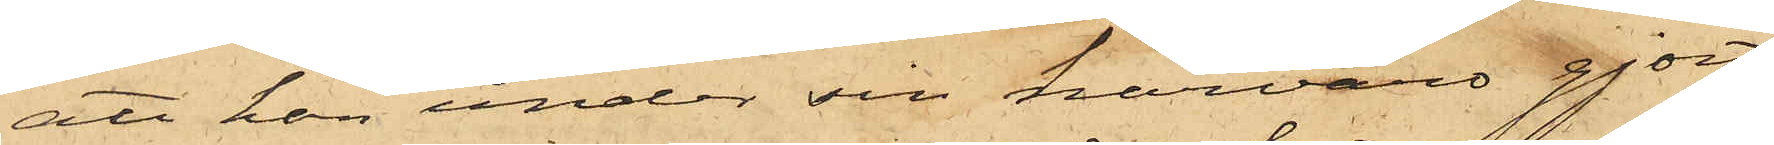att han under sin härvaro gjort
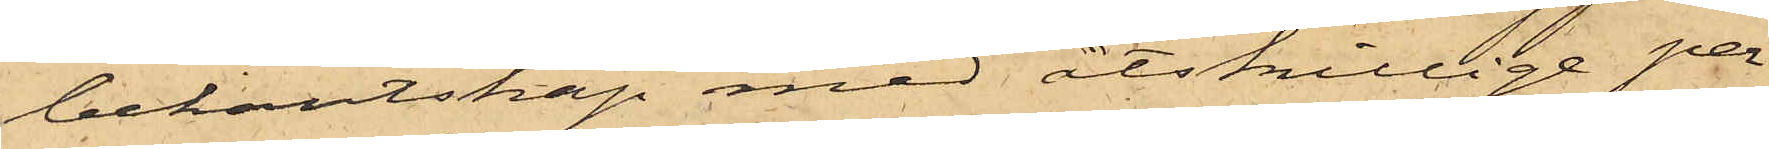bekantskap med åtskillige per¬
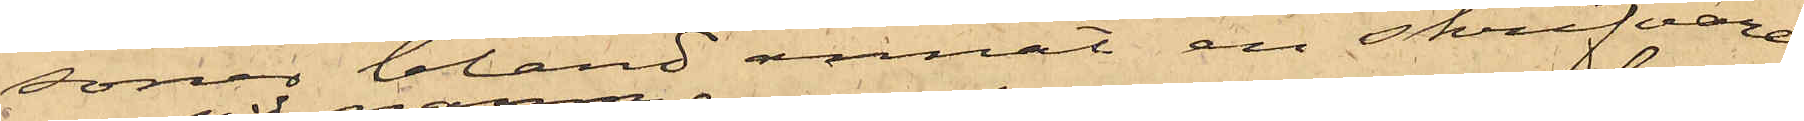soner bland annat en skrifvare
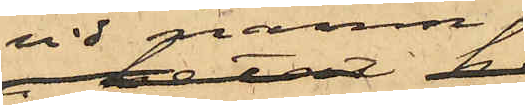vid namn
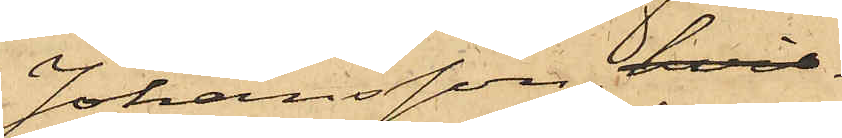Johansson, hvil¬
